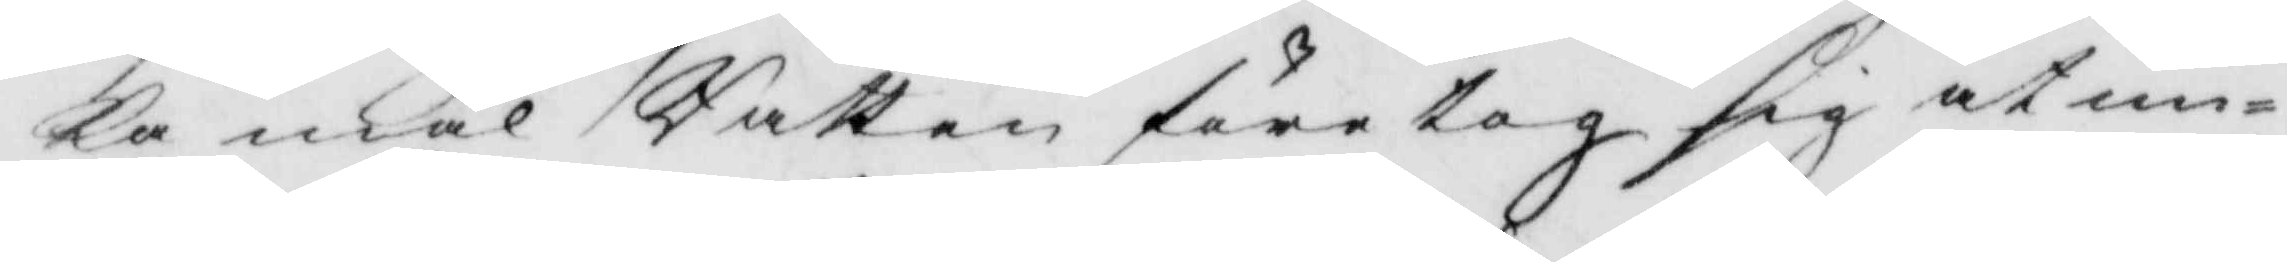ka mål Rätten företog sig at un¬
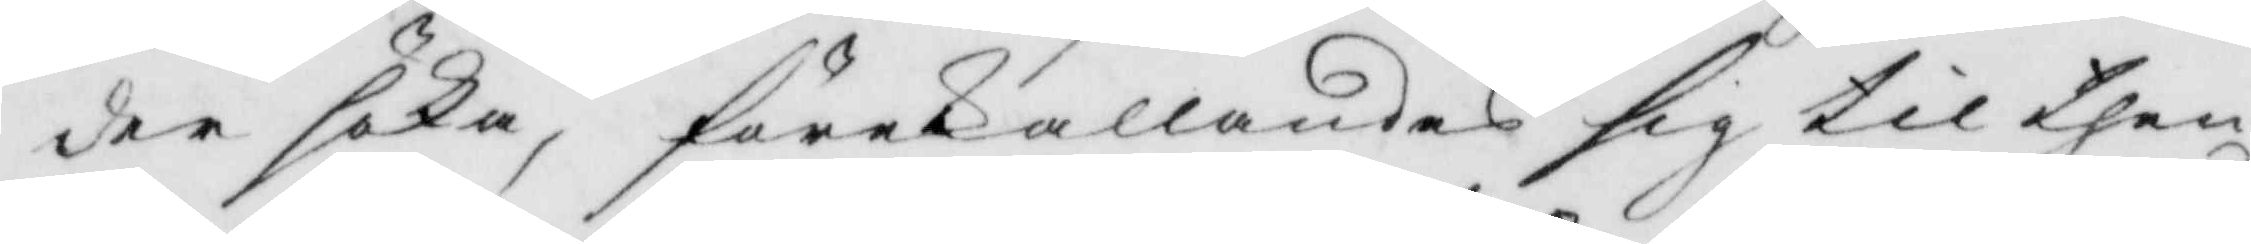der söka, förekallandes sig till then
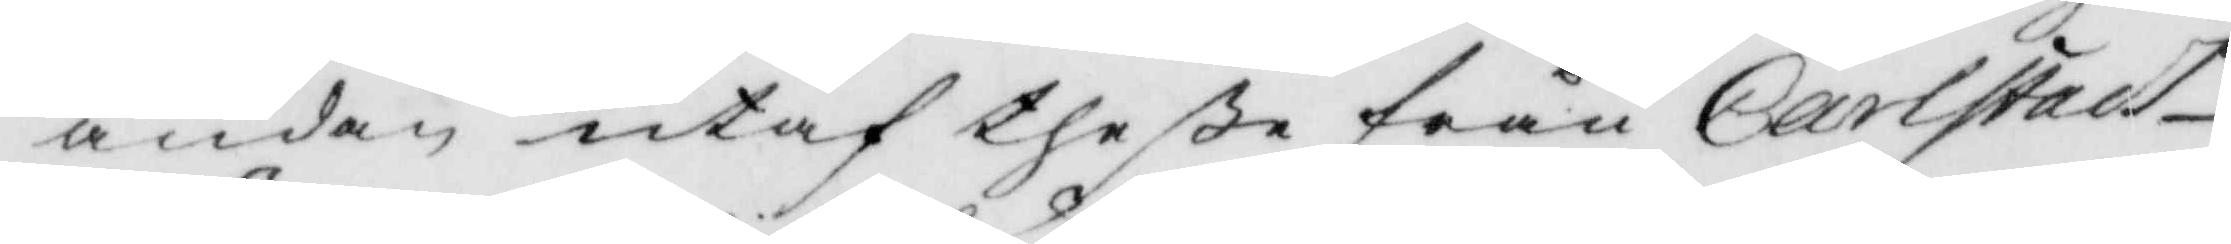ändan utaf theße från Carlstads
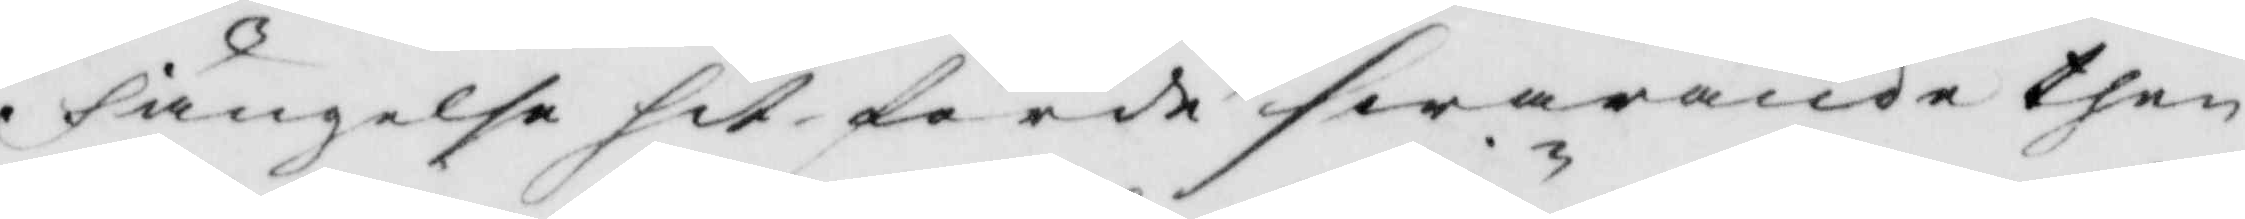fängelse hit förde swarande then
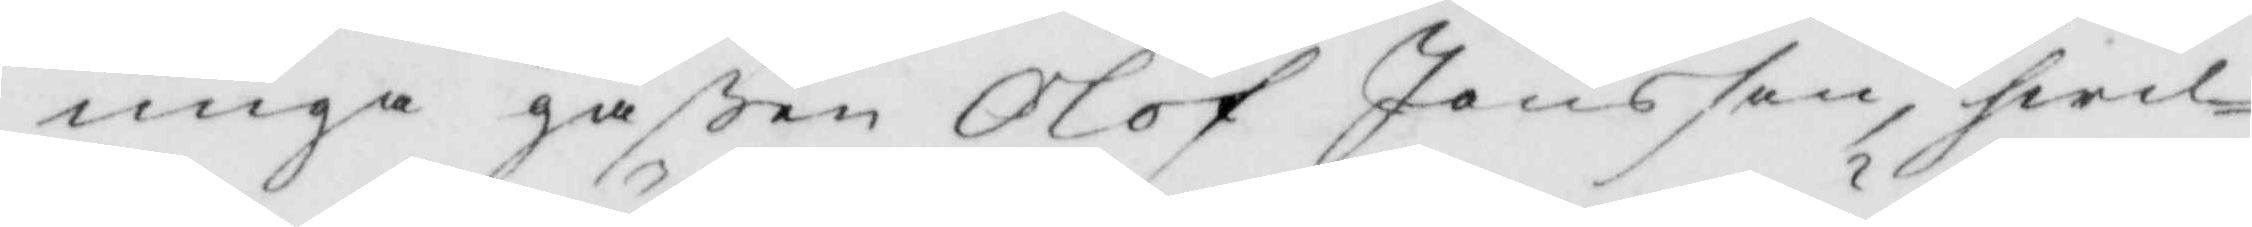unga gåßen Olof Jönson, hwil¬
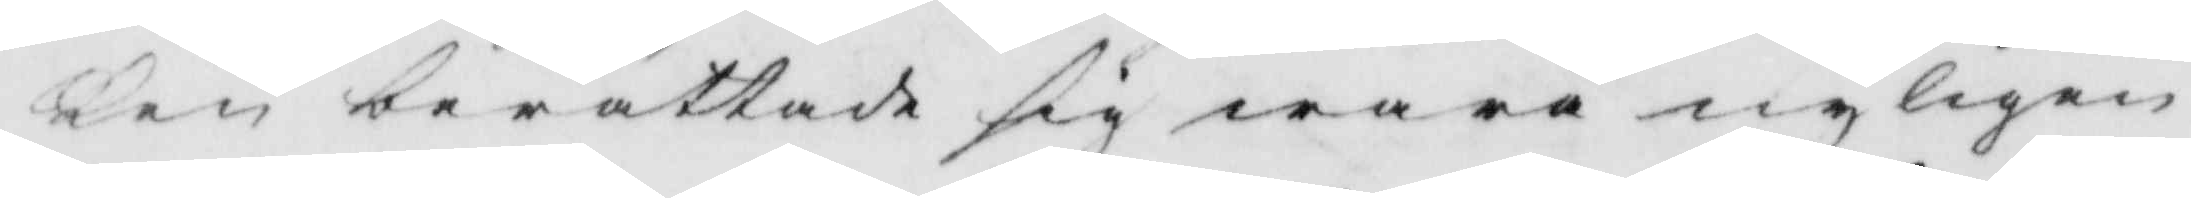ken berättade sig wara nyligen
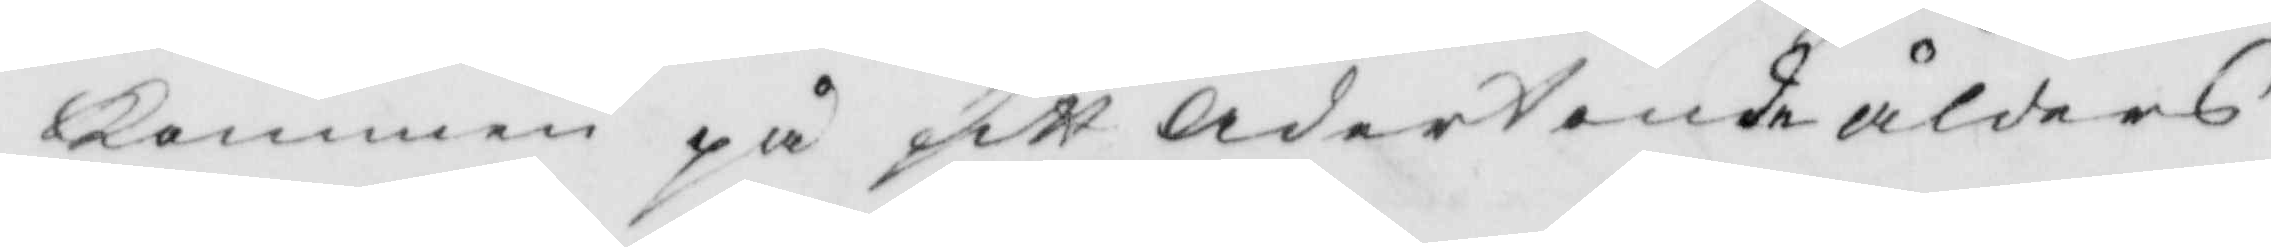kommen på sitt Adertonde ålders
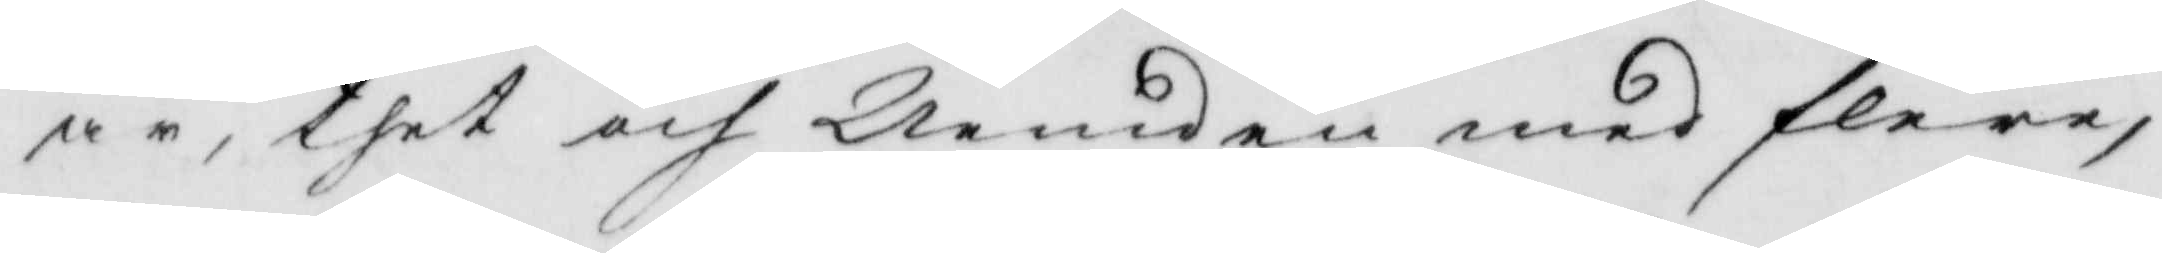år, thet och Nemden med flere,
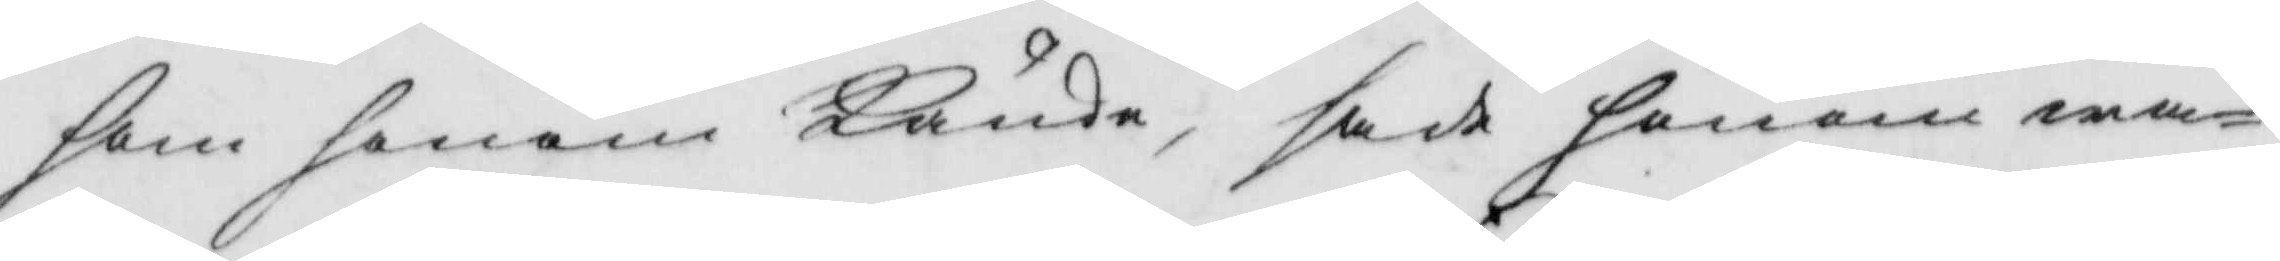som honom kände, sade honom wa¬
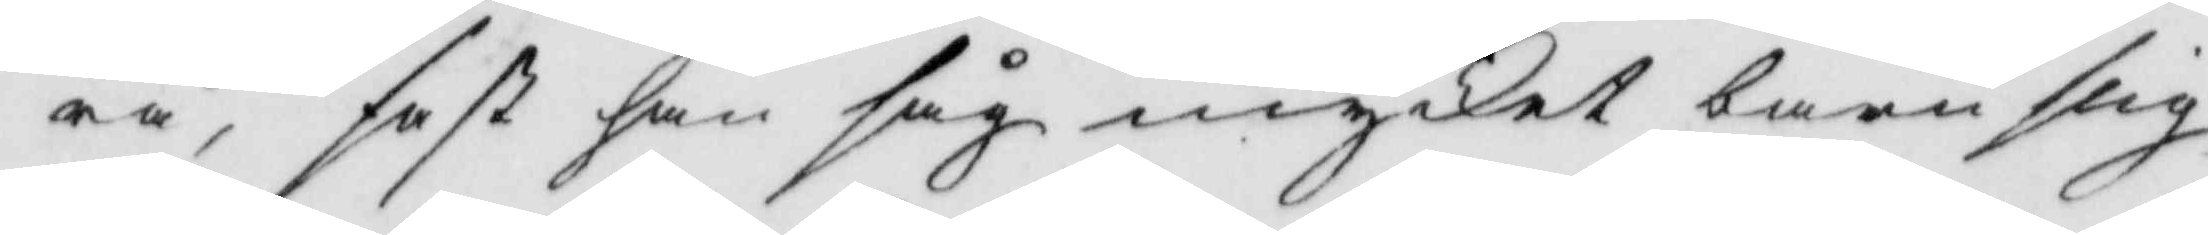ra, fast han såg mycket barnslig
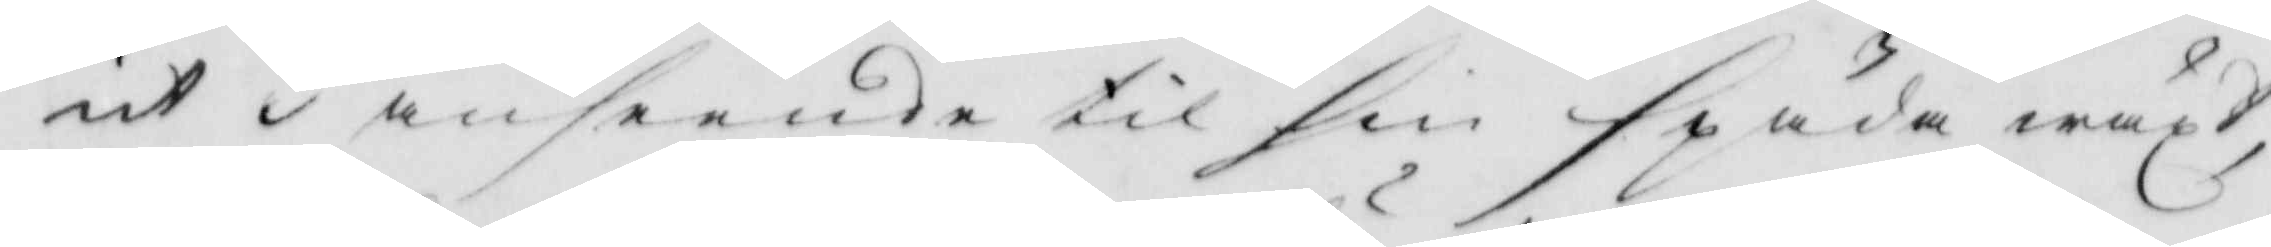ut i anseende til sin späda wäxt,
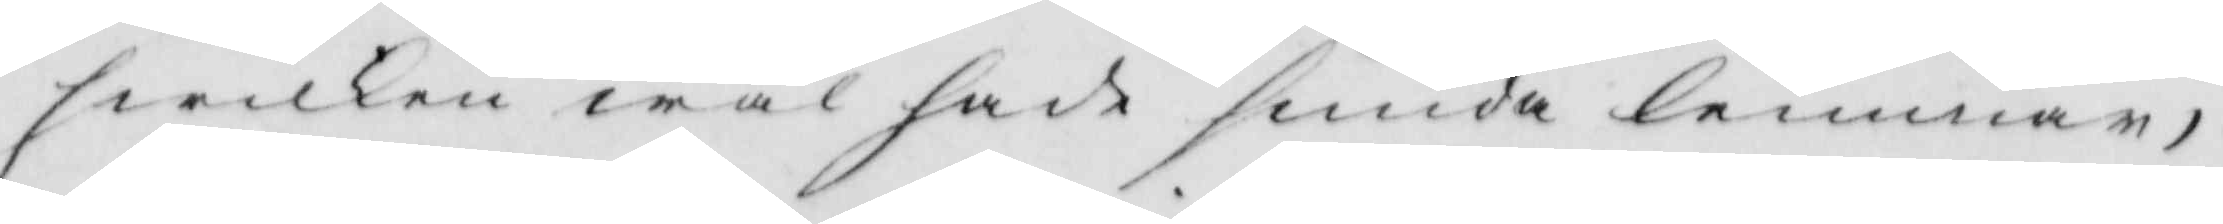hwilken wäl hade sunda lemmar,
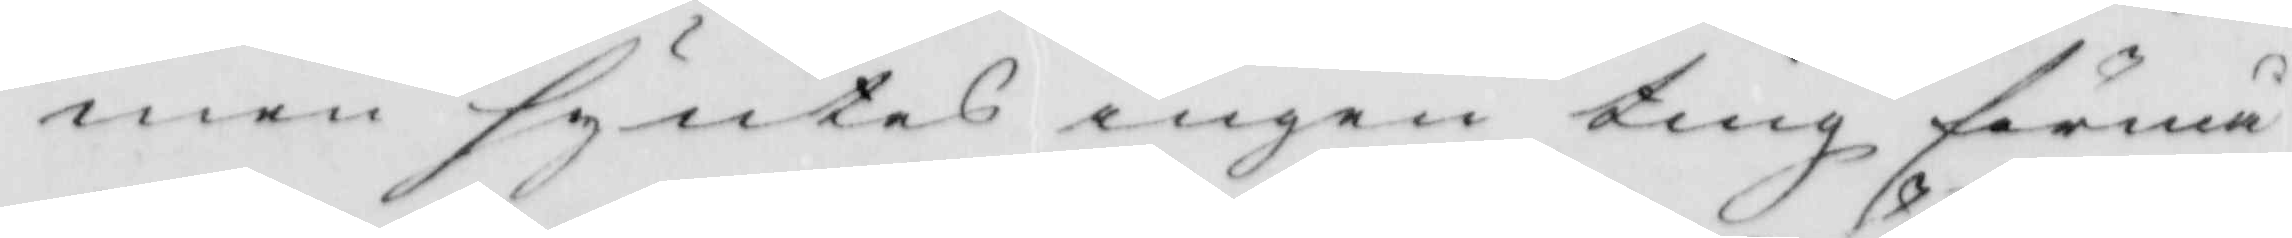men syntes ingen ting förmå
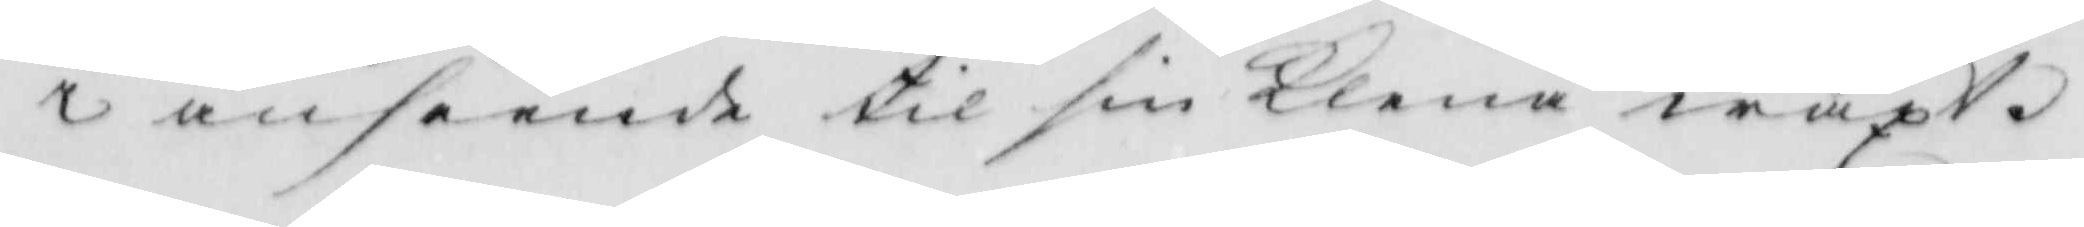i anseende til sin klena wäxt.
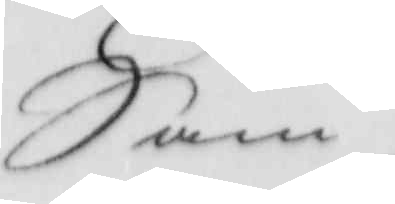Sam./.
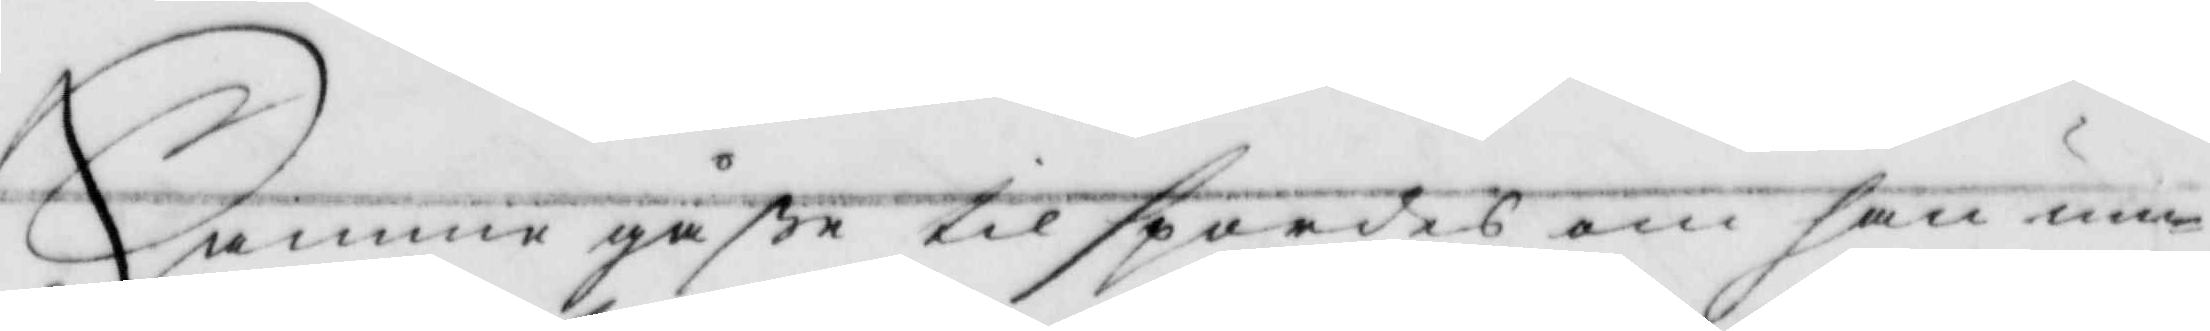Samme gåße tilspordes om han um¬
